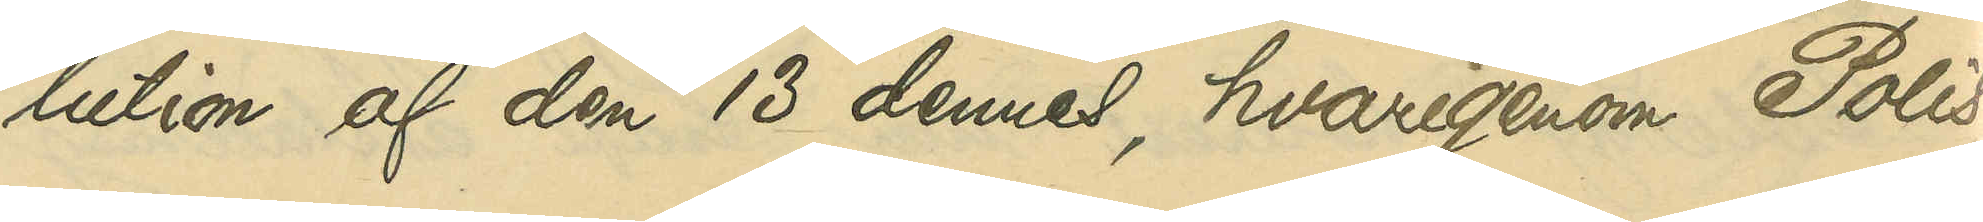lution af den 13 dennes, hvarigenom Polis¬
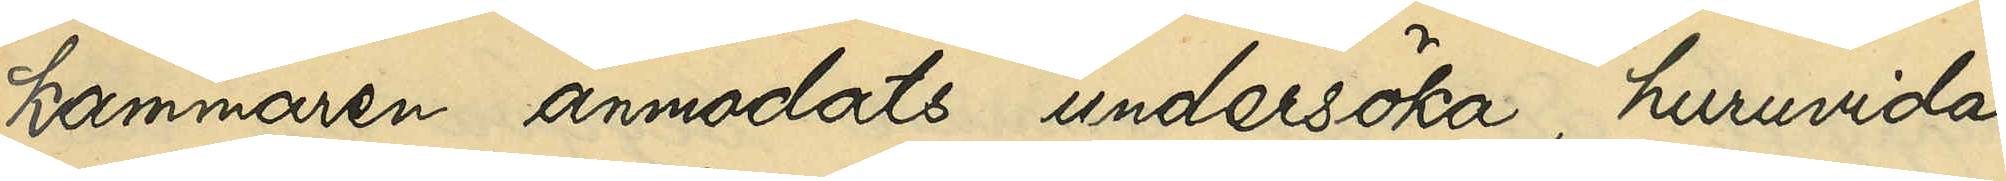kammaren anmodats undersöka, huruvida 
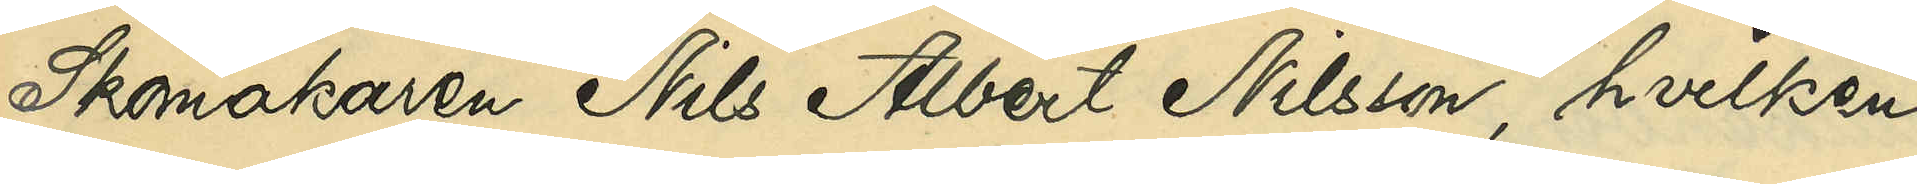Skomakaren Nils Albert Nilsson, hvilken
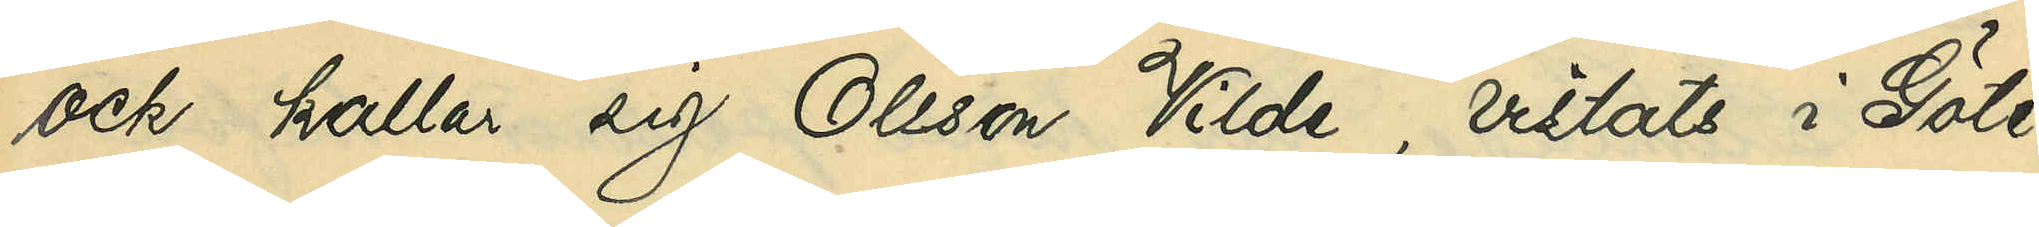ock kallas sig Olsson Vilde, vistats i Göte¬
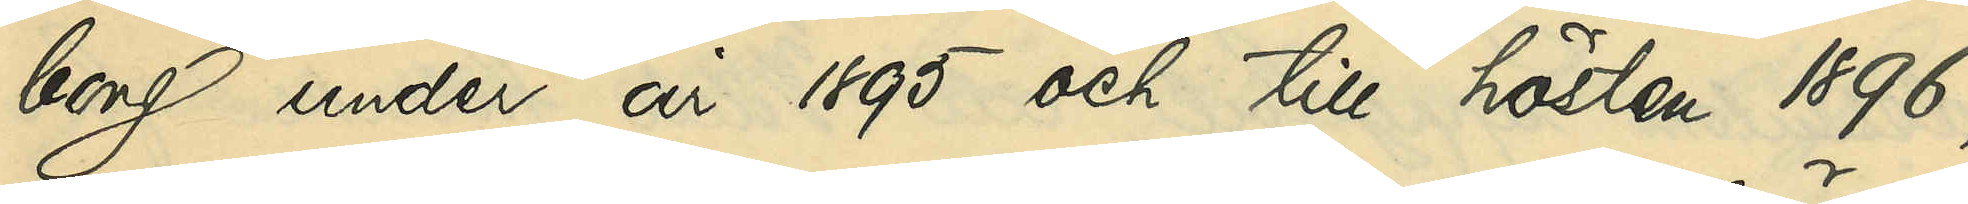borg under år 1895 och till hösten 1896,
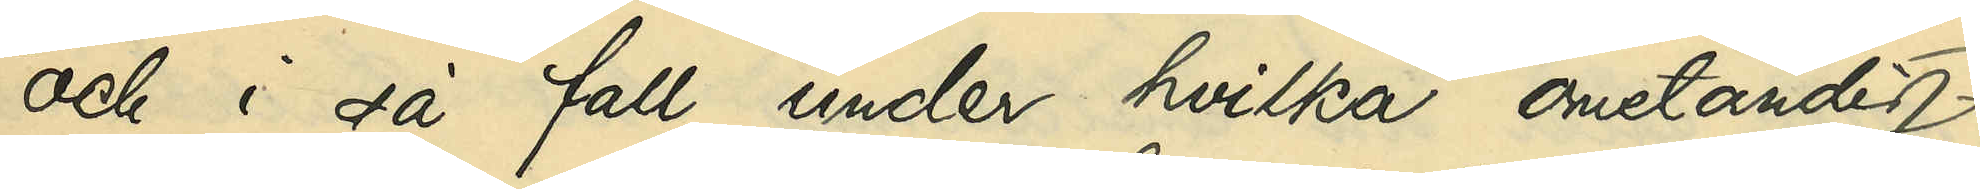och i så fall under hvilka omständig¬
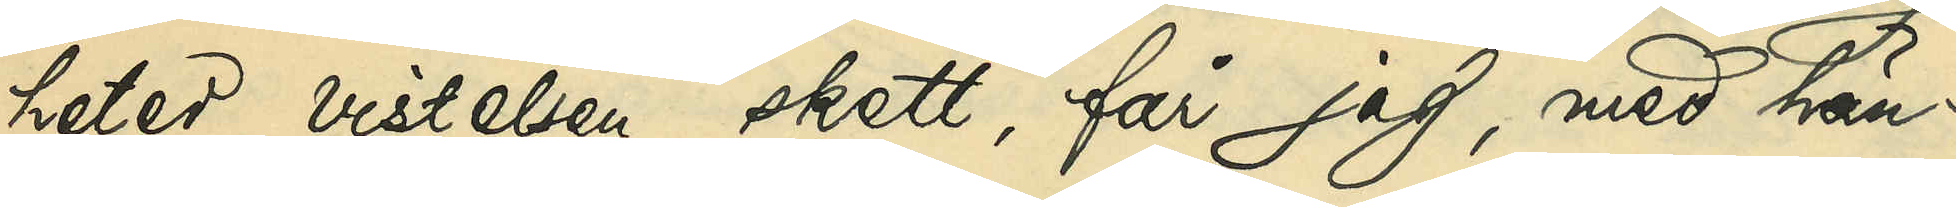heter vistelsen skett, får jag, med hän¬
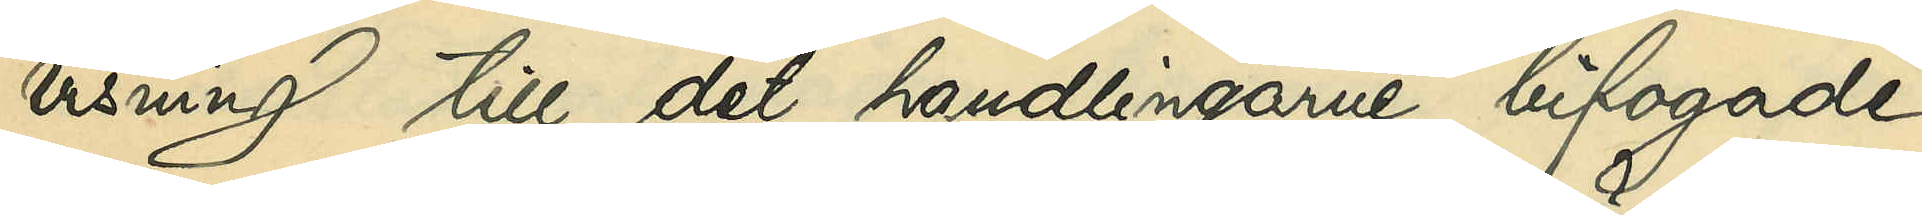visning till det handlingarne bifogade
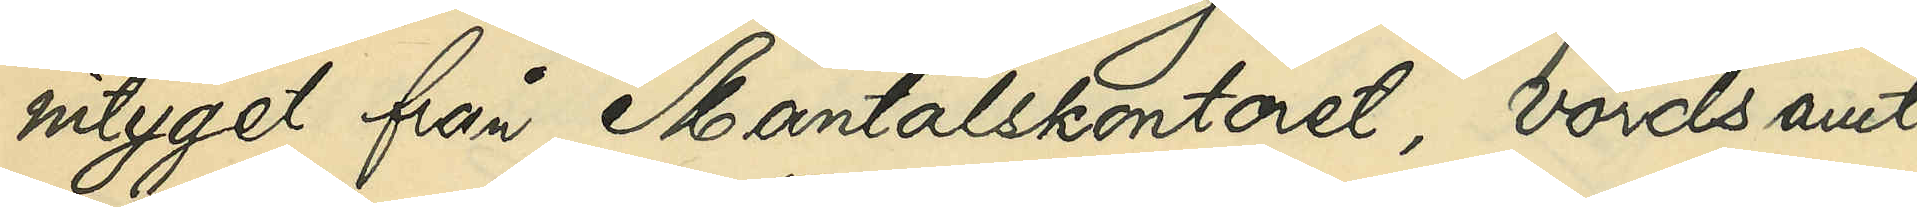intyget från Mantalskontoret, vördsamt
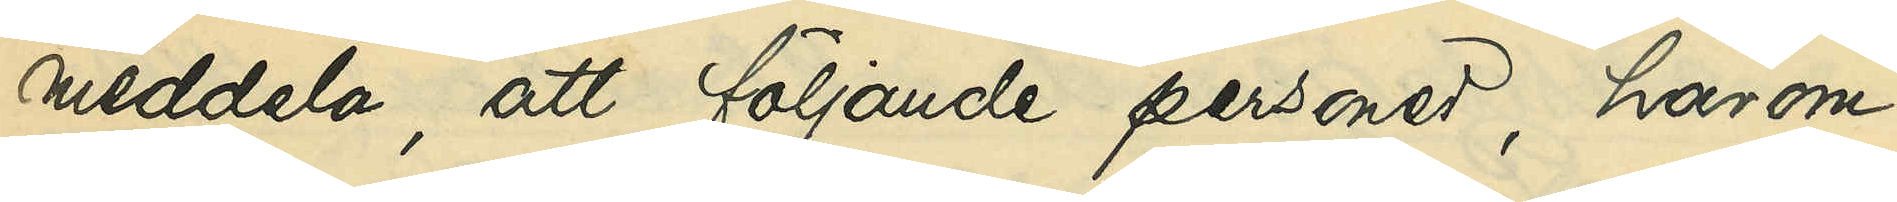meddela, att följande personer, härom
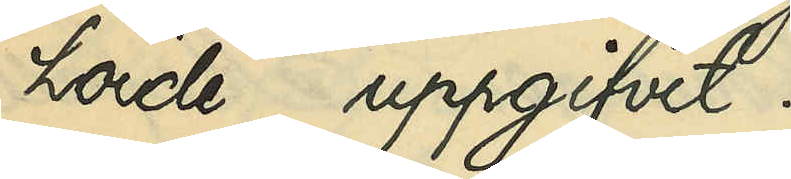hörde, uppgifvit:
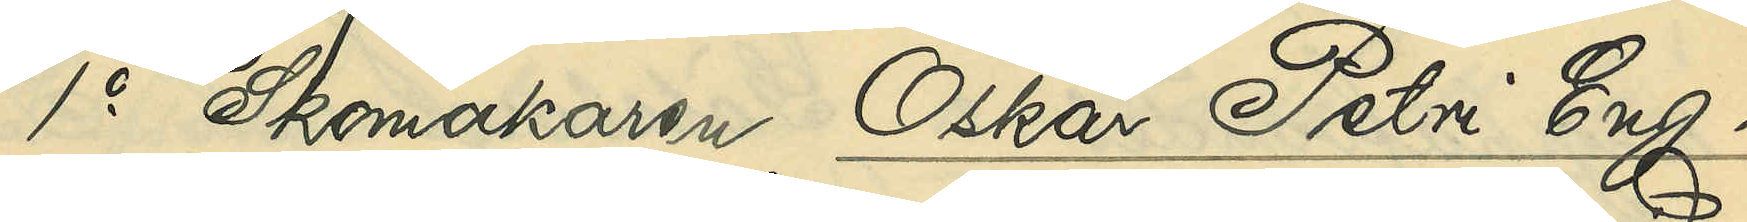1o Skomakaren Oskar Petri Eng¬
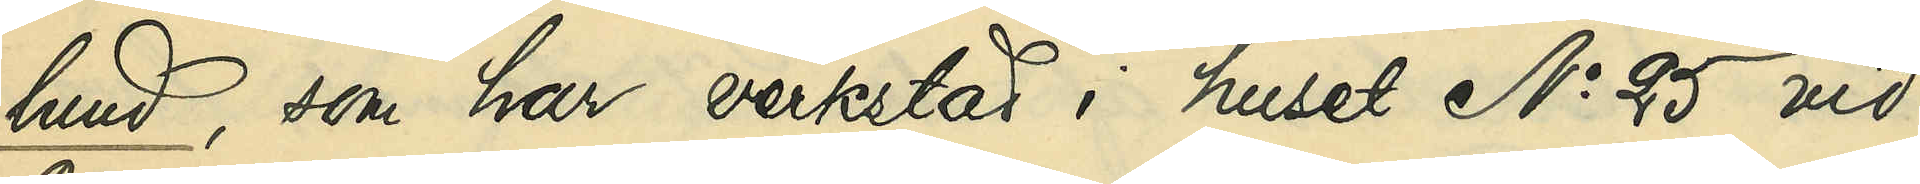lund, som har verkstad i huset No 25 vid
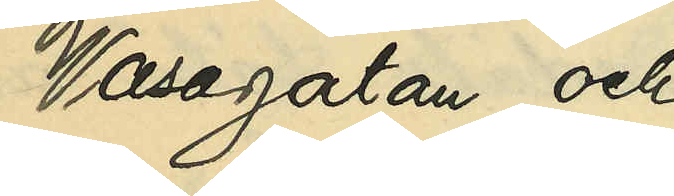Wasagatan och
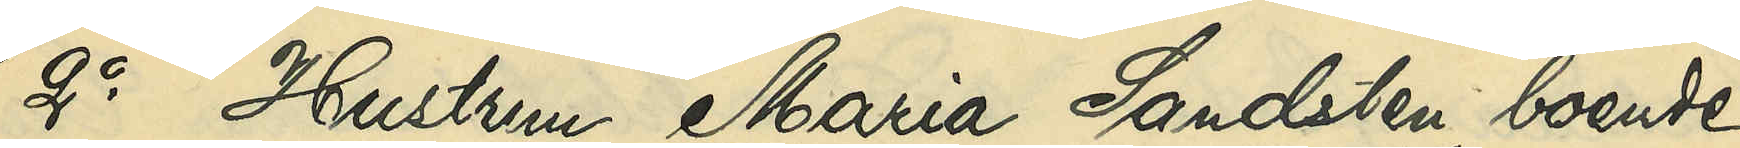2o Hustrun Maria Sandsten, boende
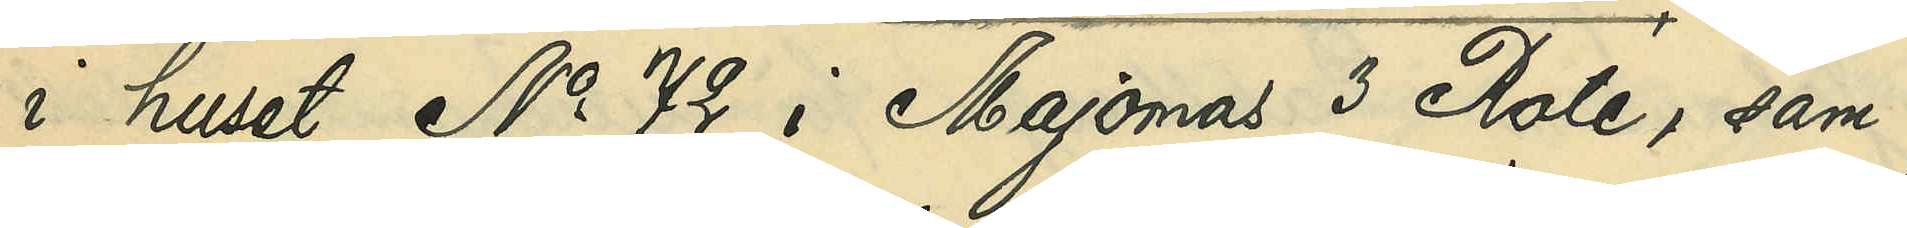i huset No 72 i Majornas 3 Rote, sam¬
